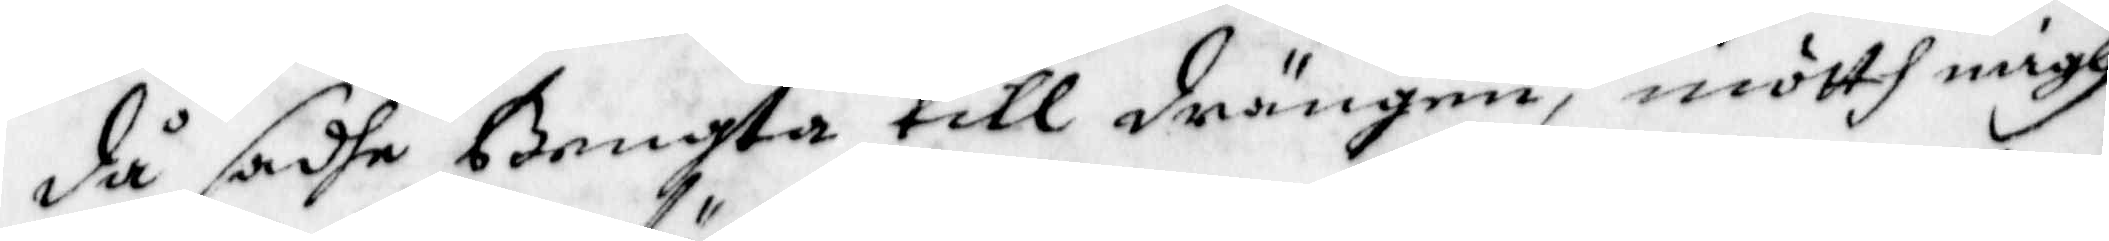då sadhe Bengta till drängen, möth migh
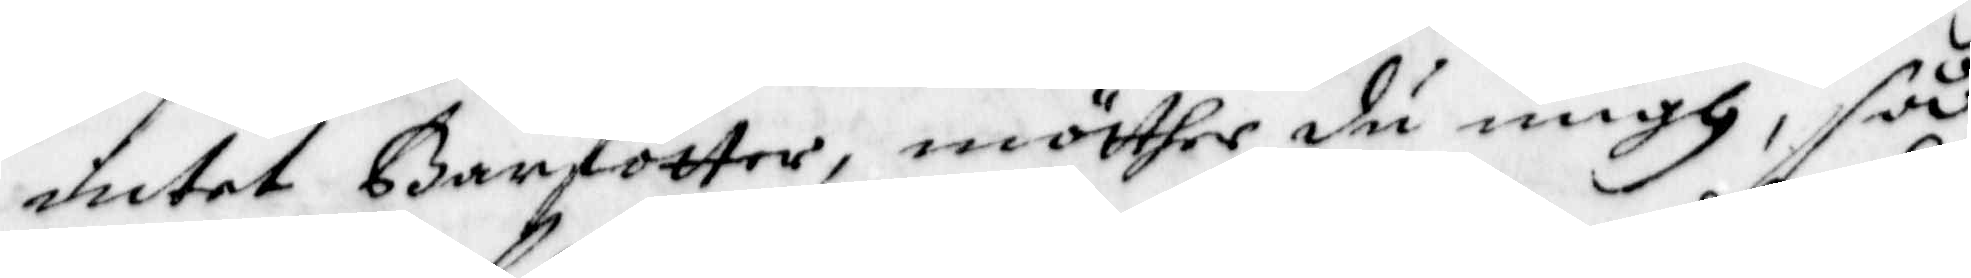intet Barfötter, möther du migh, så
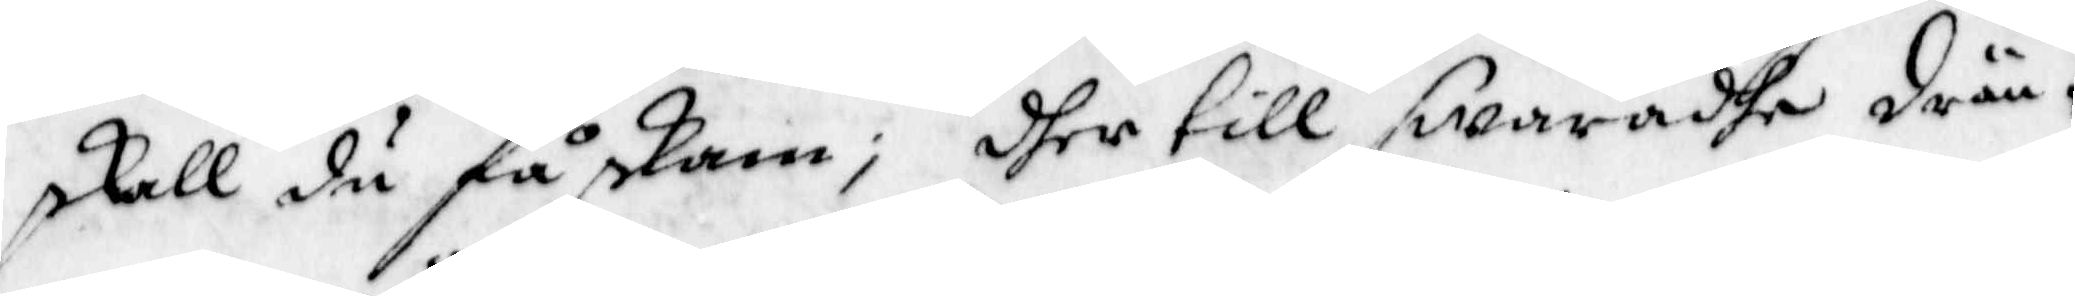skall du få skam, dher till swaradhe drän¬
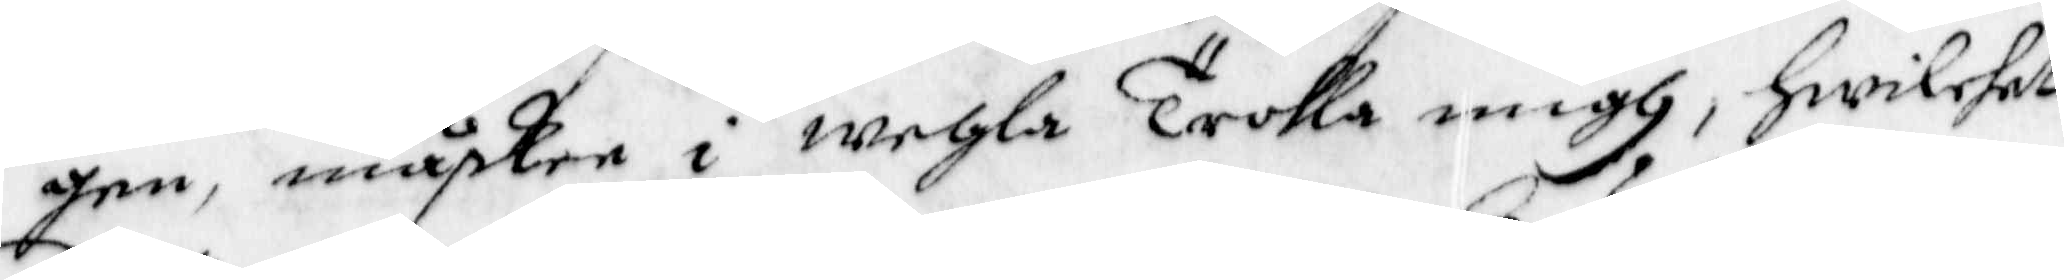gen, måsken i wehla Trolla migh, hwilcket
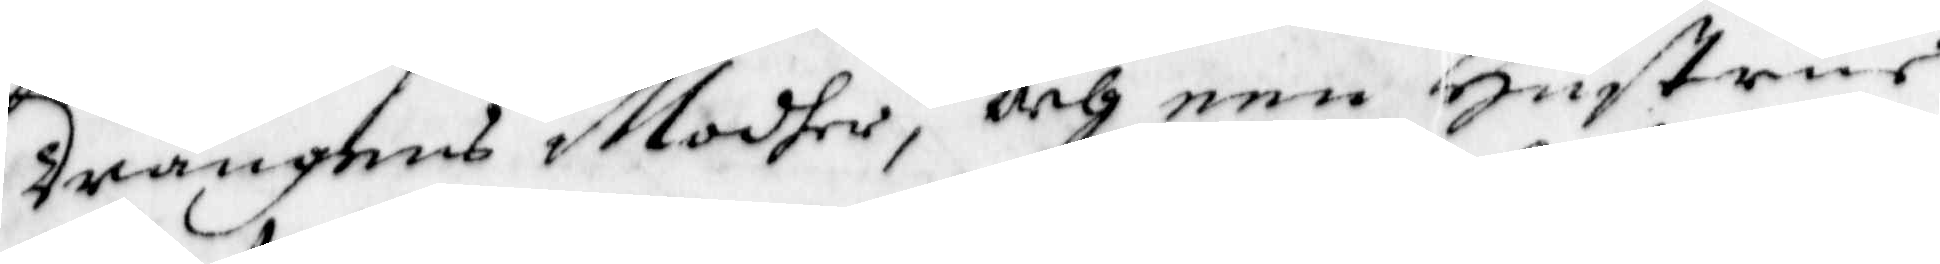Drängens Modher, och een Hustrur
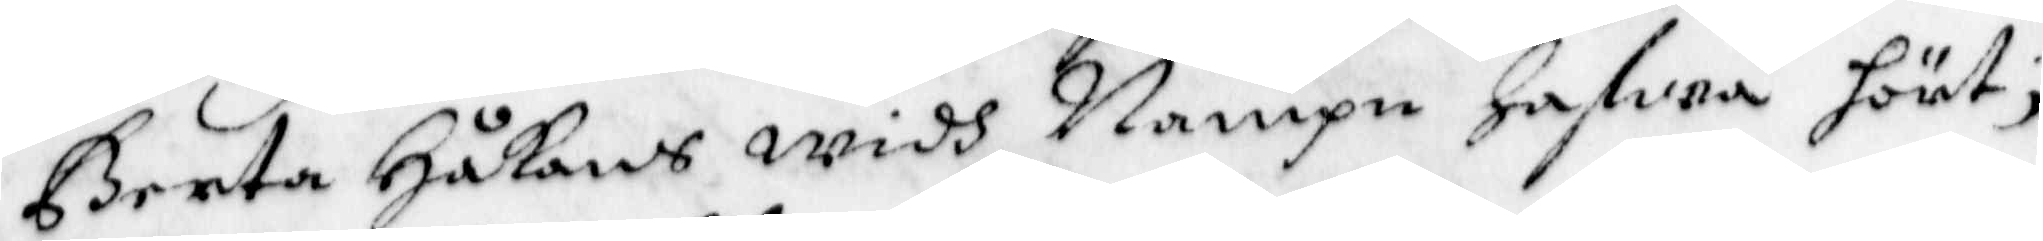Berta Håkans widh Nampn hafwa hört,
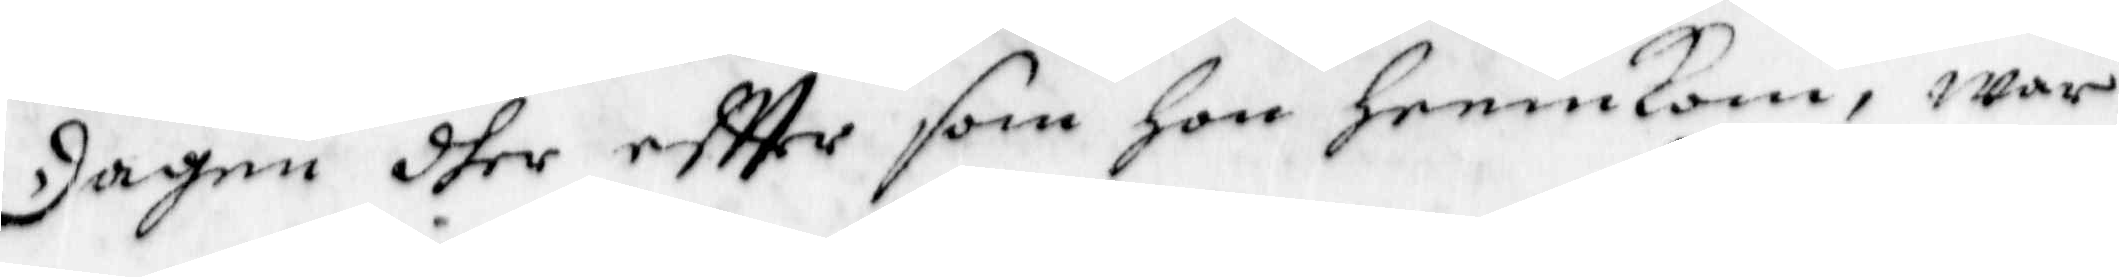Dagen dher effter som hon hemmkom, war
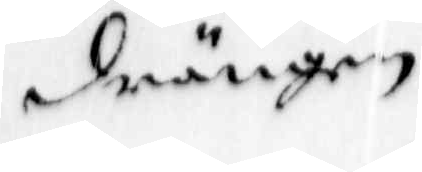drängen
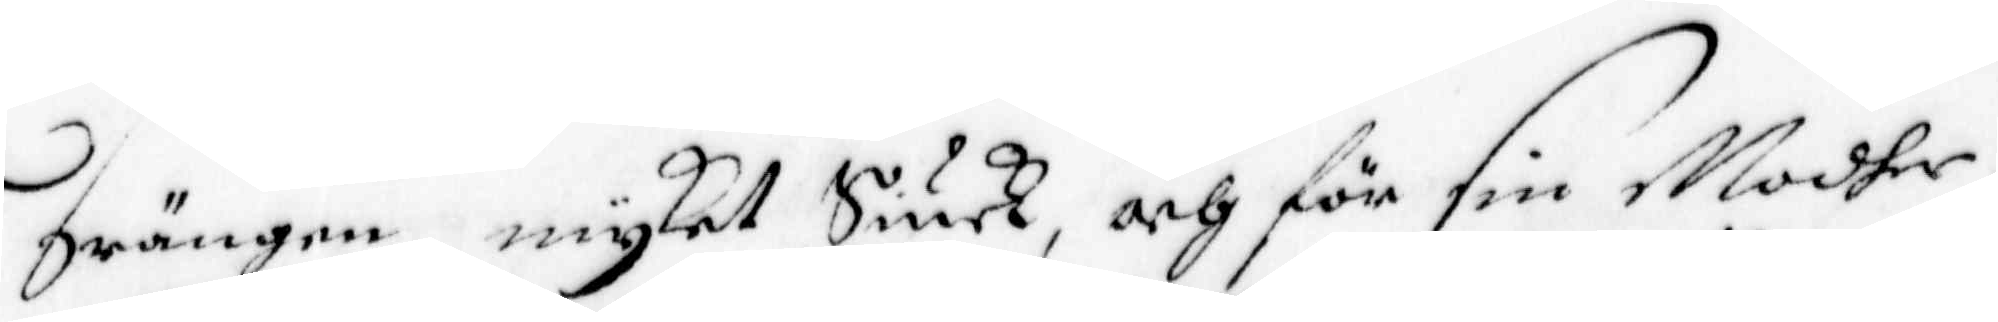Drängen mycket Siuk, och för sin Modher
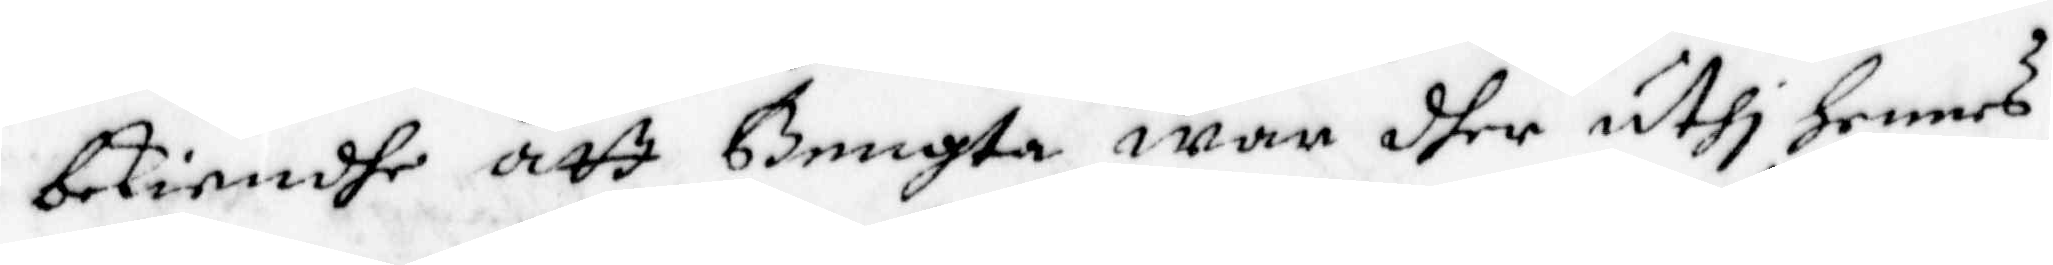bekiendhe att Bengta war dher uthi hennes
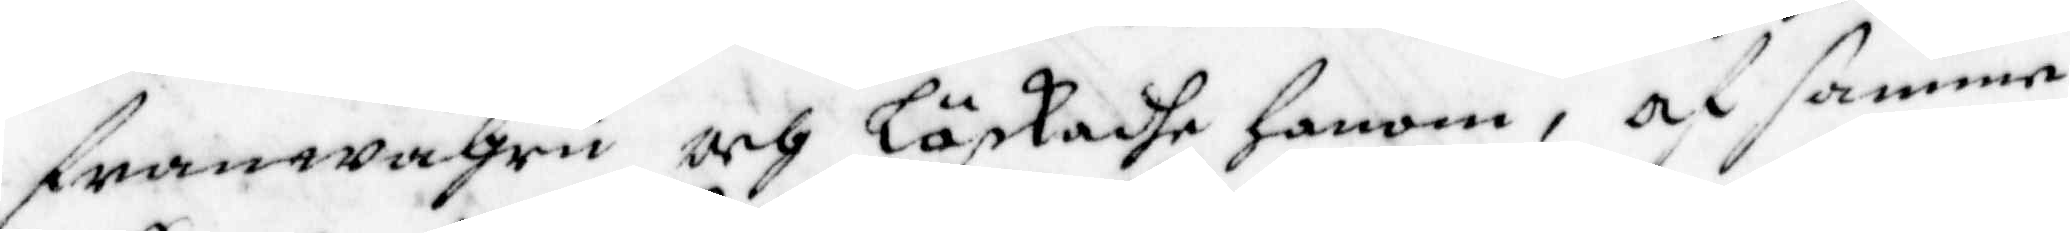franwahru och Löskadhe honom, af samme
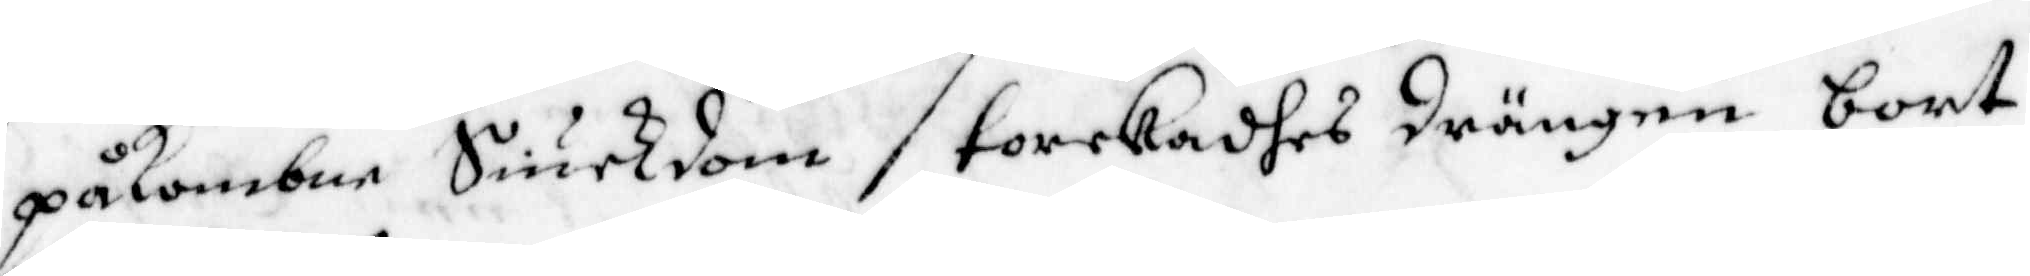påkombne Siukdom torkadhes drängen bort
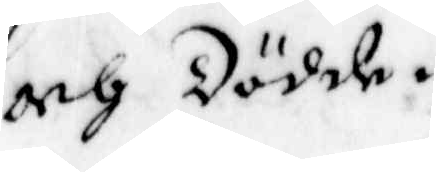och Dödde.
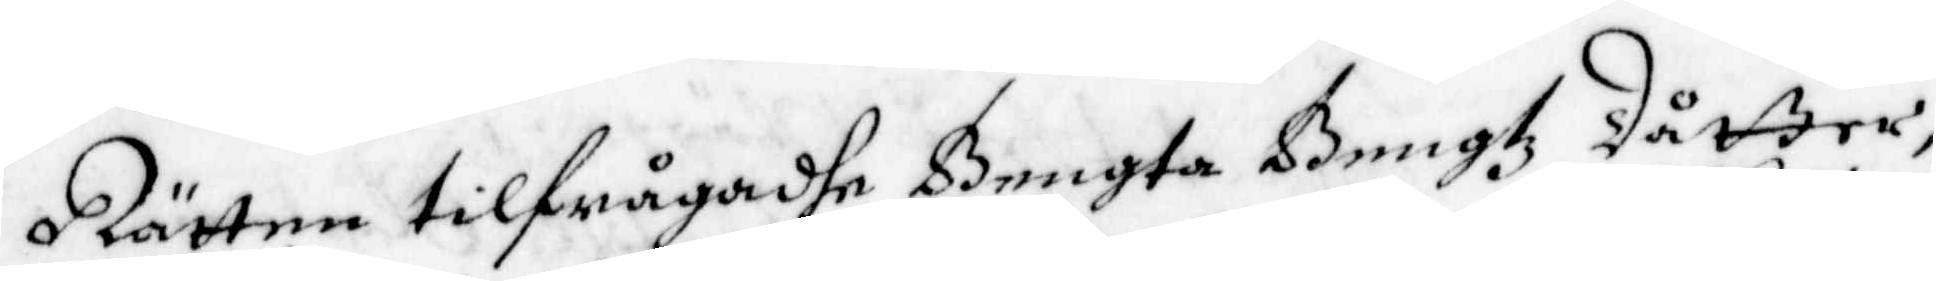Rätten tilfrågadhe Bengta Bengtz Dåtter,
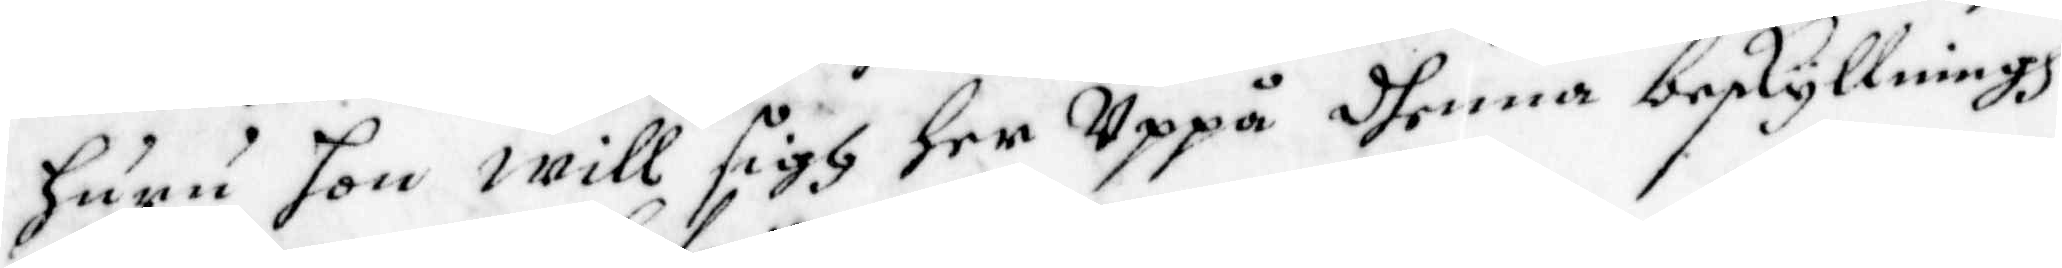huru hon will sigh her Uppå dhenna beskyllningh,
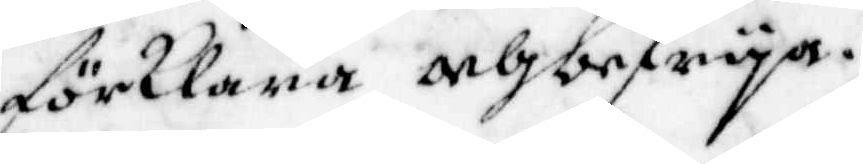förklara och befrya.
